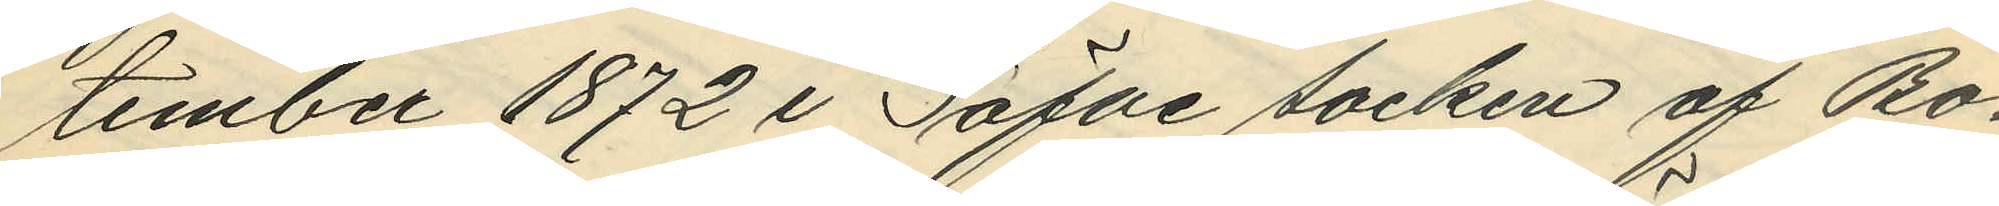tember 1872 i Säfve socken af Bo¬
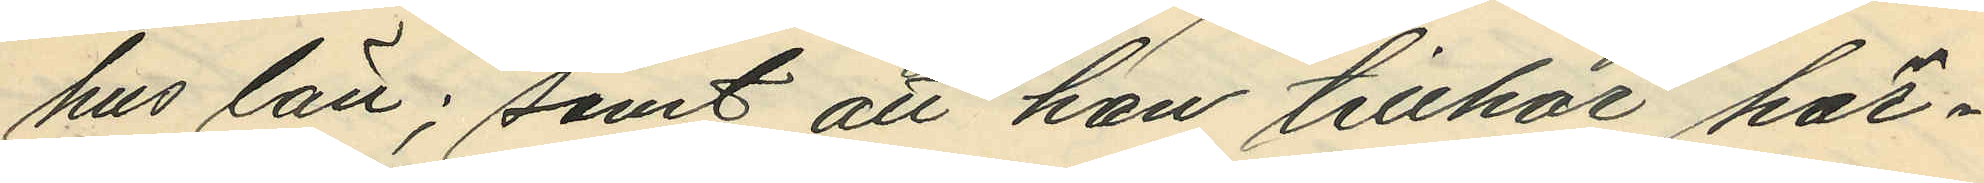hus län; samt att han tillhör här¬
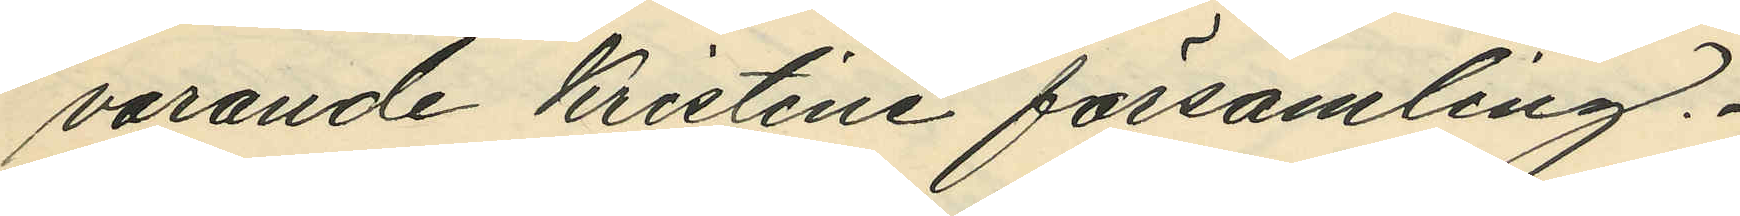varande Kristine församling.
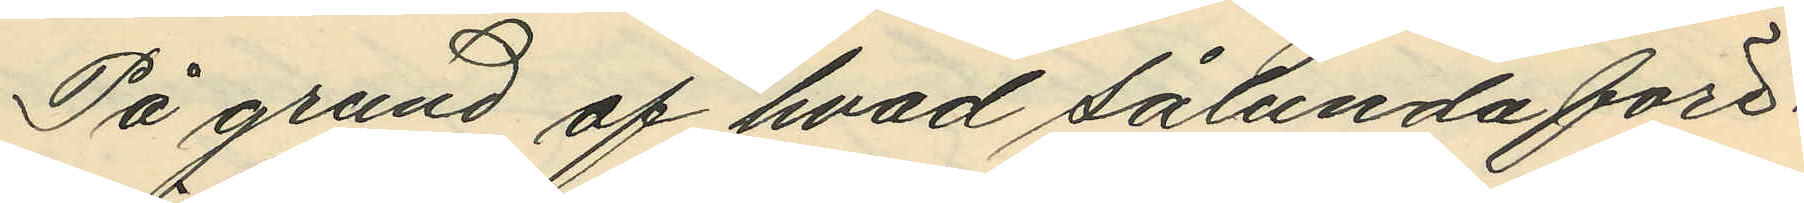På grund af hvad sålunda före¬
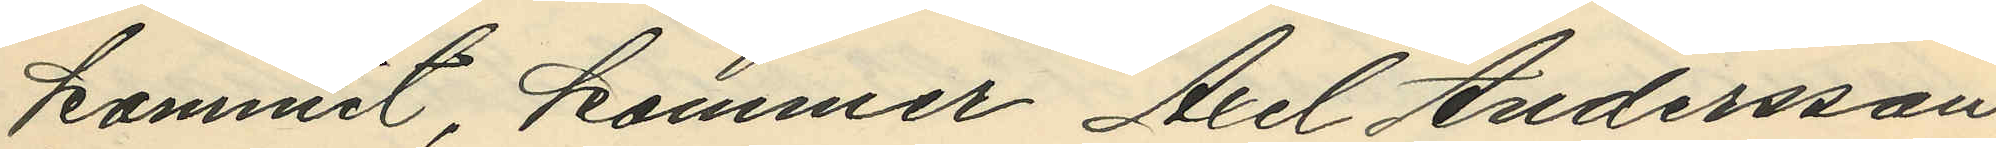kommit, kommer Axel Andersson
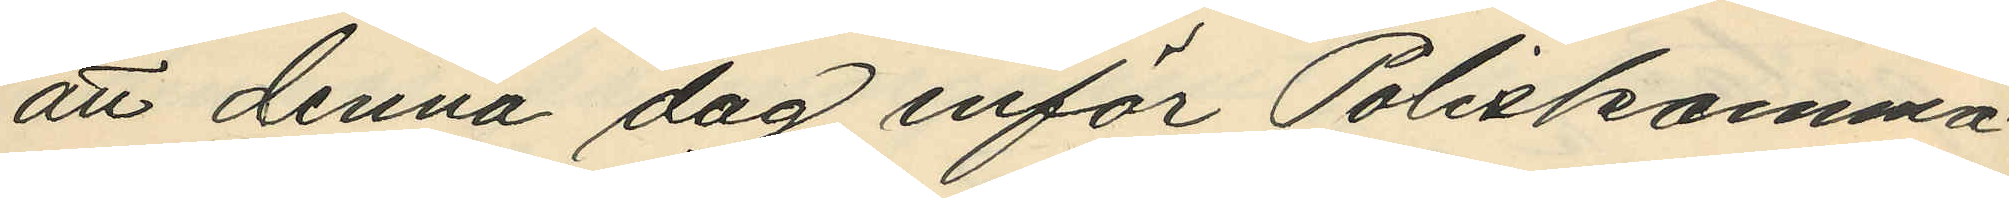att denna dag inför Poliskamma¬
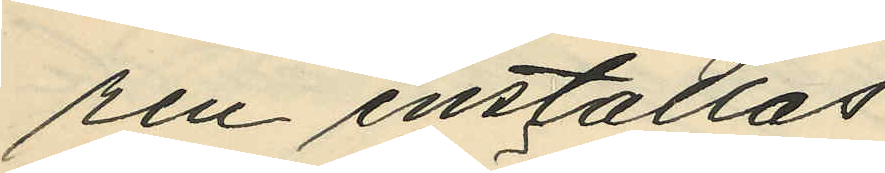ren inställas.
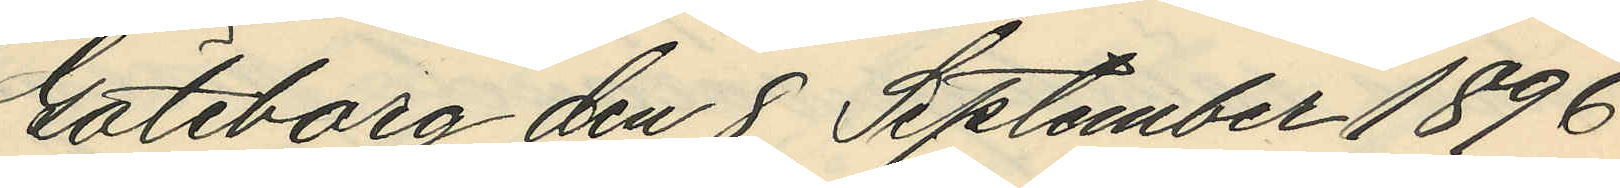Göteborg den 8 September 1896.
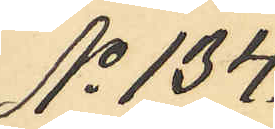No 134.
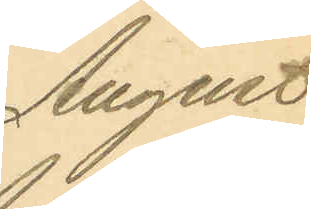August
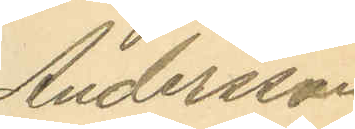Andersson
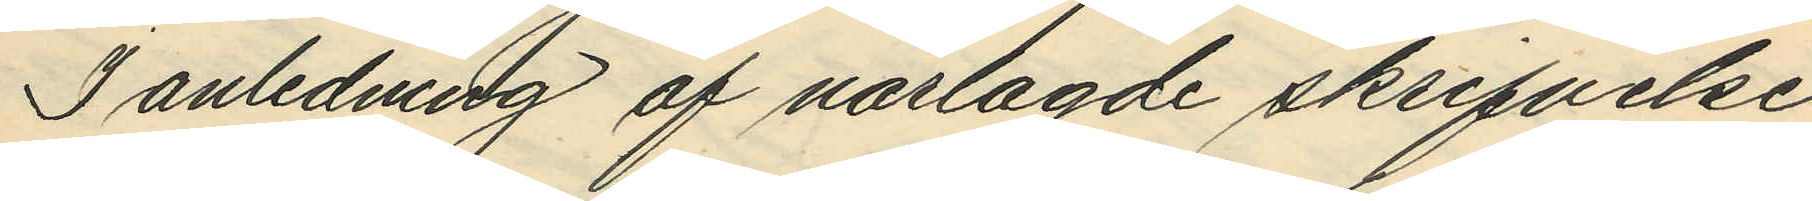I anledning af närlagde skrifvelse,
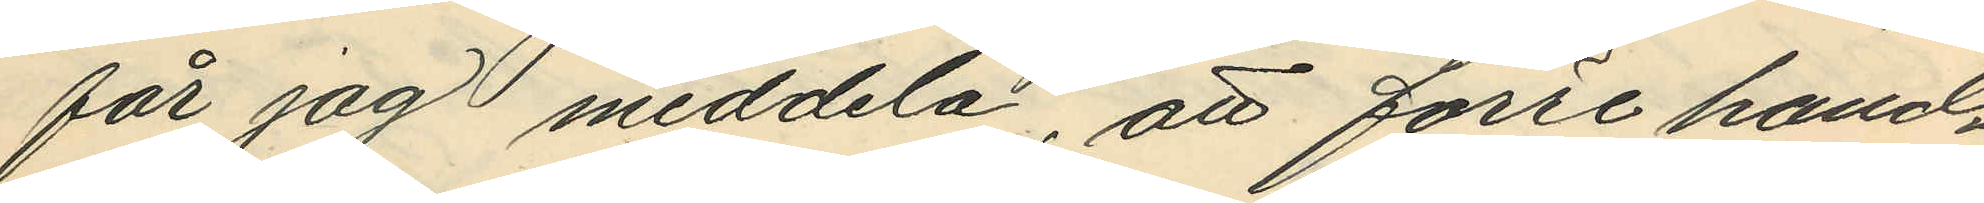får jag meddela, att förre hand¬
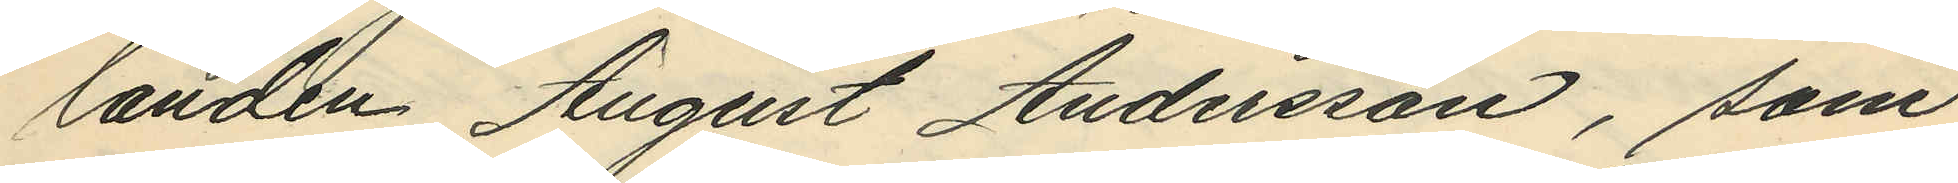landen August Andersson, som
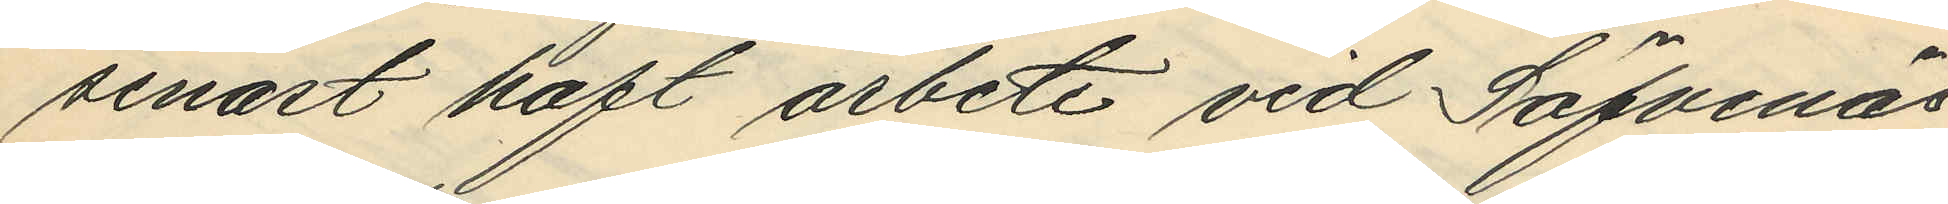senast haft arbete vid Säfvenäs
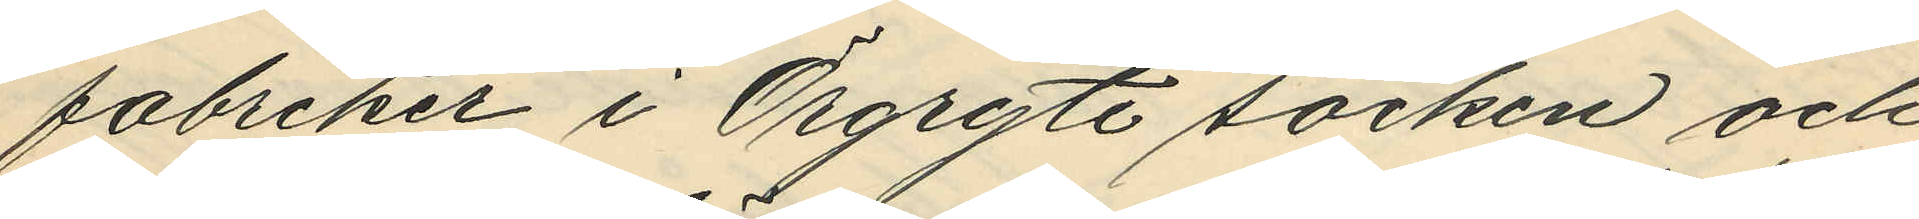fabriker i Örgryte socken och
